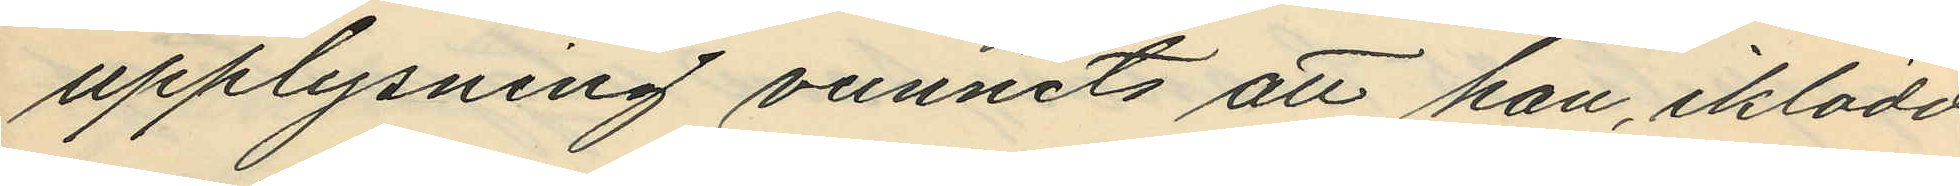upplysning vunnets att han, iklädd
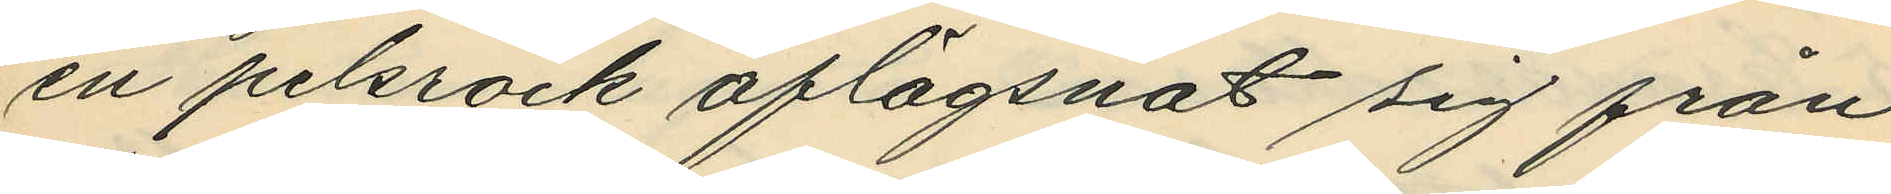en pelsrock aflägsnat sig från
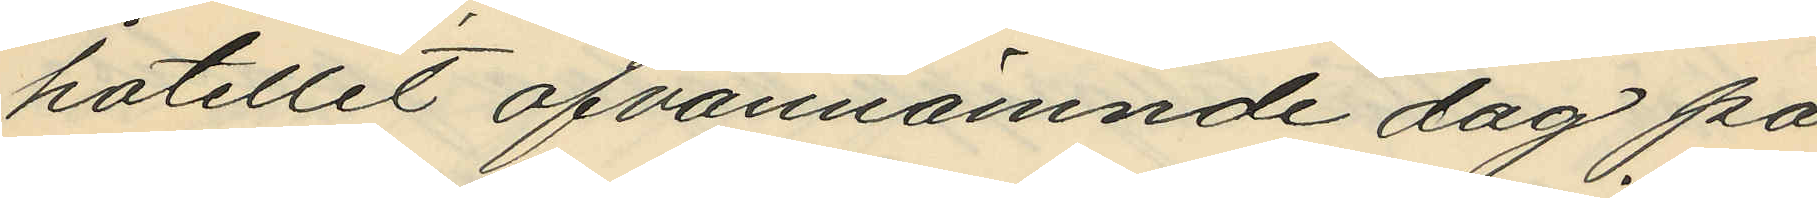hotellet ofvannämnde dag på
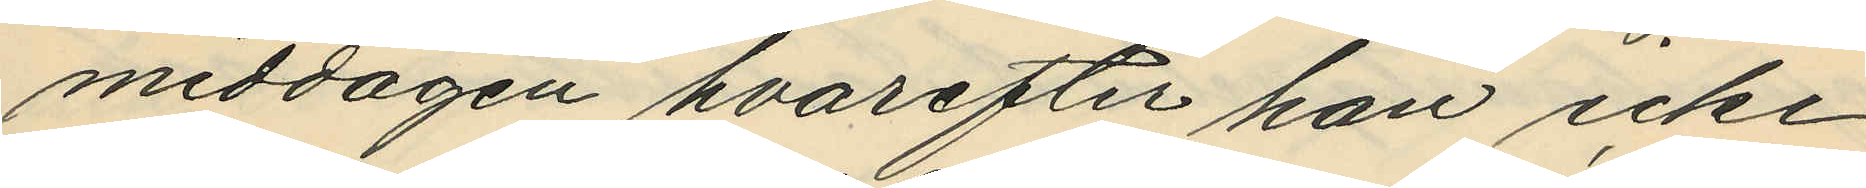middagen hvarefter han icke
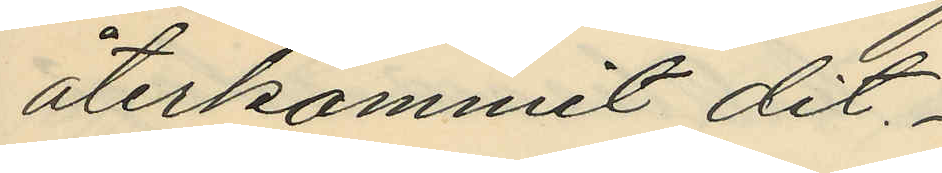återkommit dit.
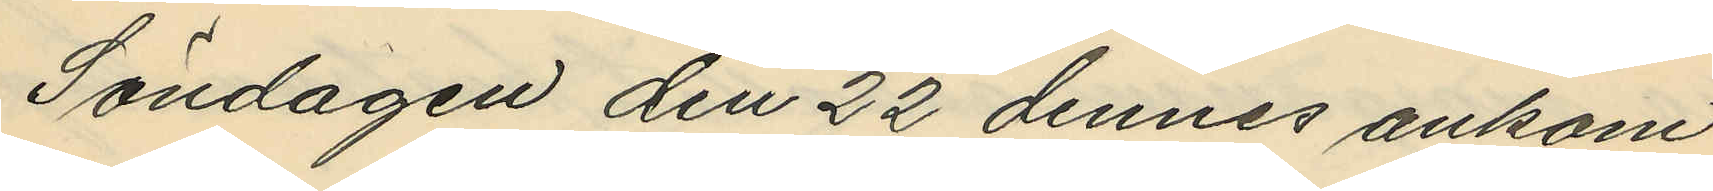Söndagen den 22 dennes ankom
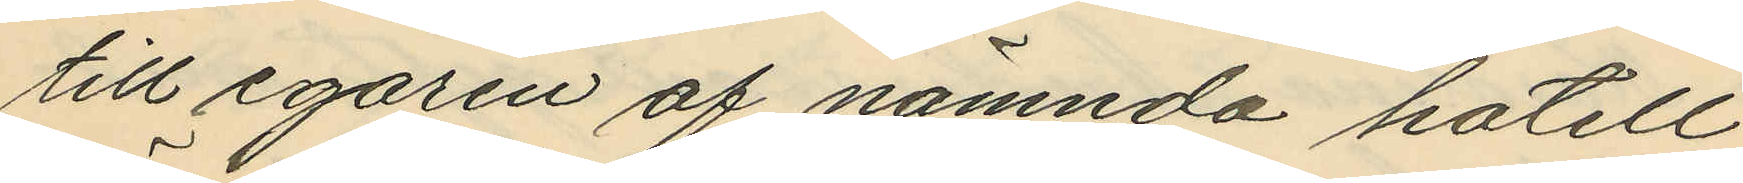till egaren af nämnda hotell
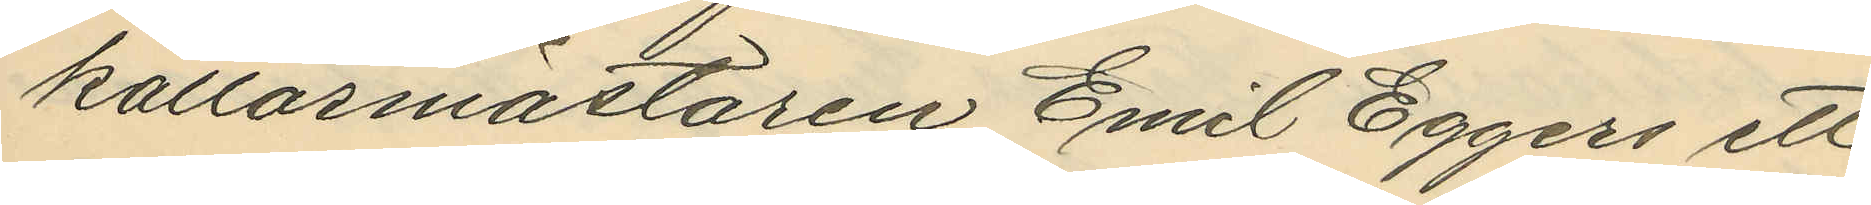källarmästaren Emil Eggers ett
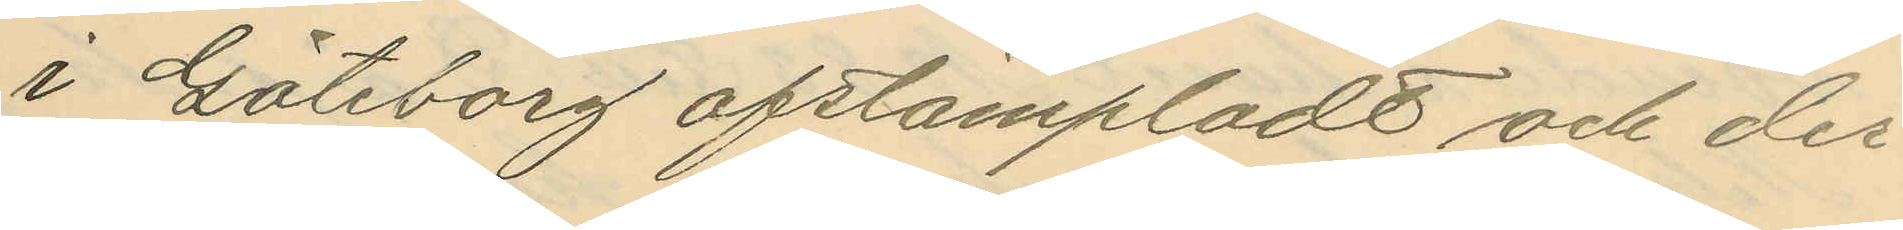i Göteborg afstämpladt och der¬
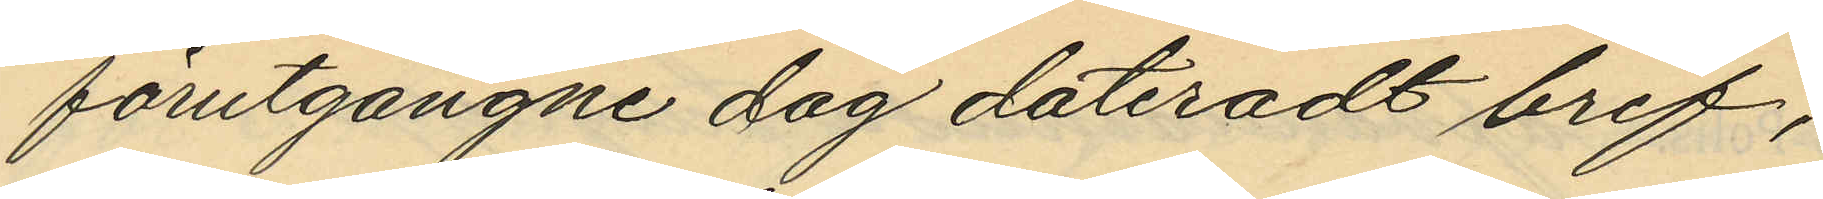förutgångne dag dateradt bref,
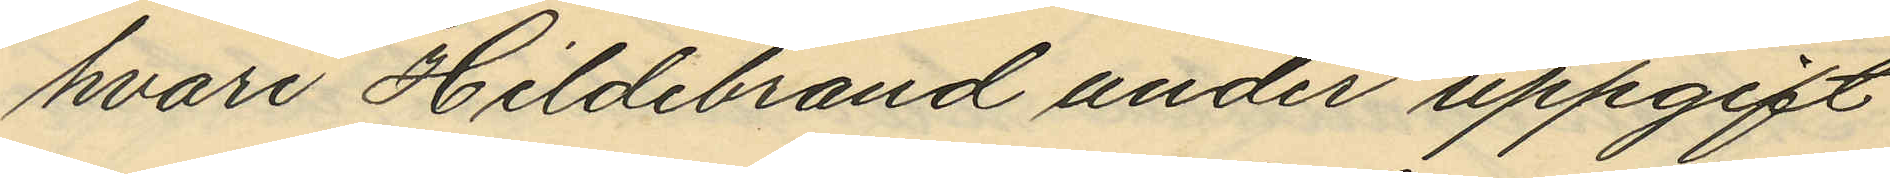hvari Hildebrand under uppgift
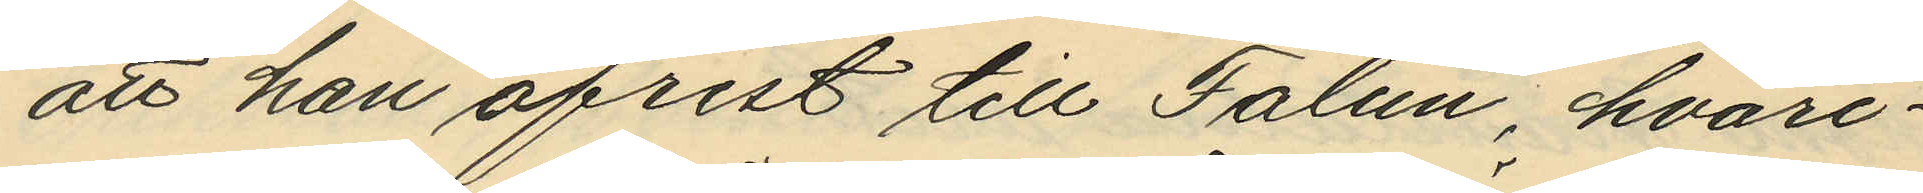att han afrest till Falun, hvari¬
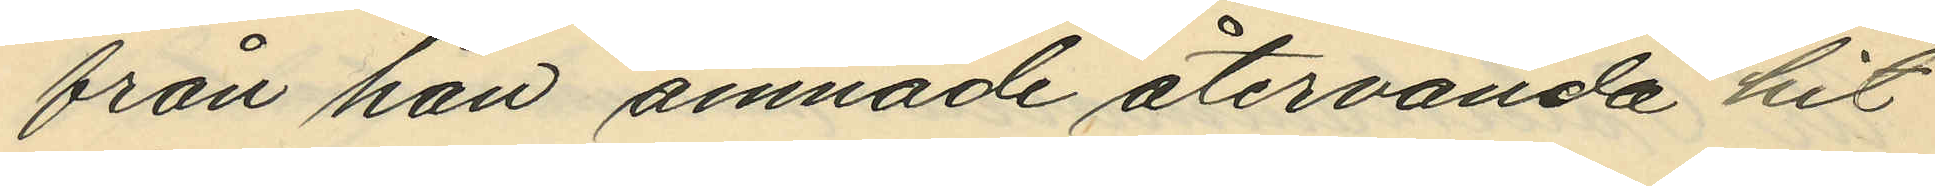från han ämnade återvända hit
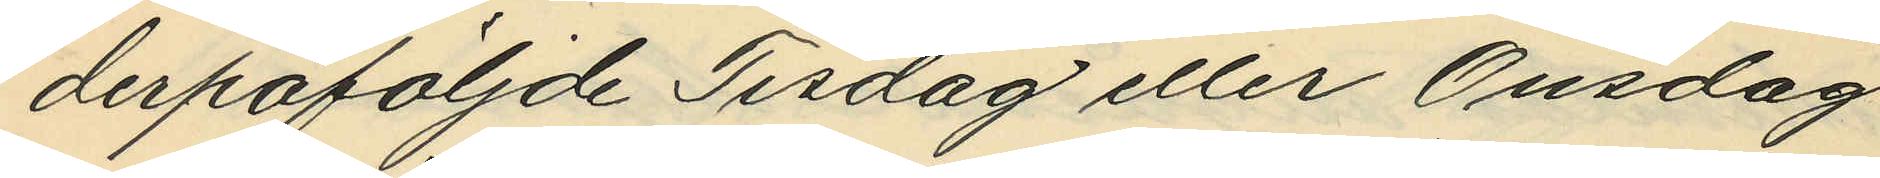derpåföljde Tisdag eller Onsdag
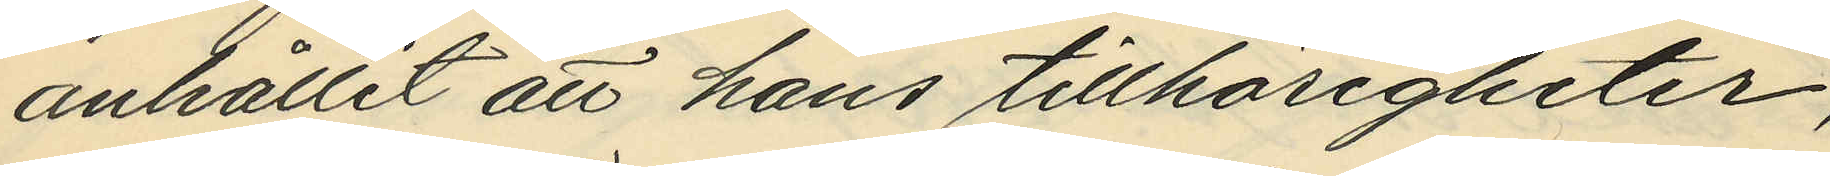anhållit att hans tillhörigheter,
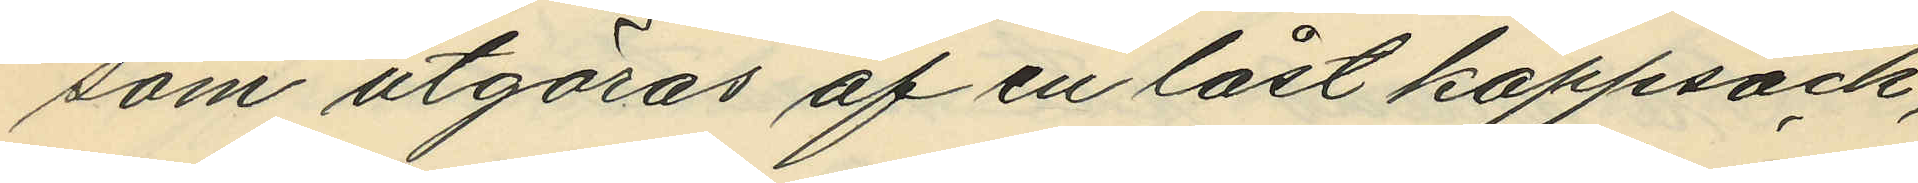som utgöras af en låst kappsäck,
